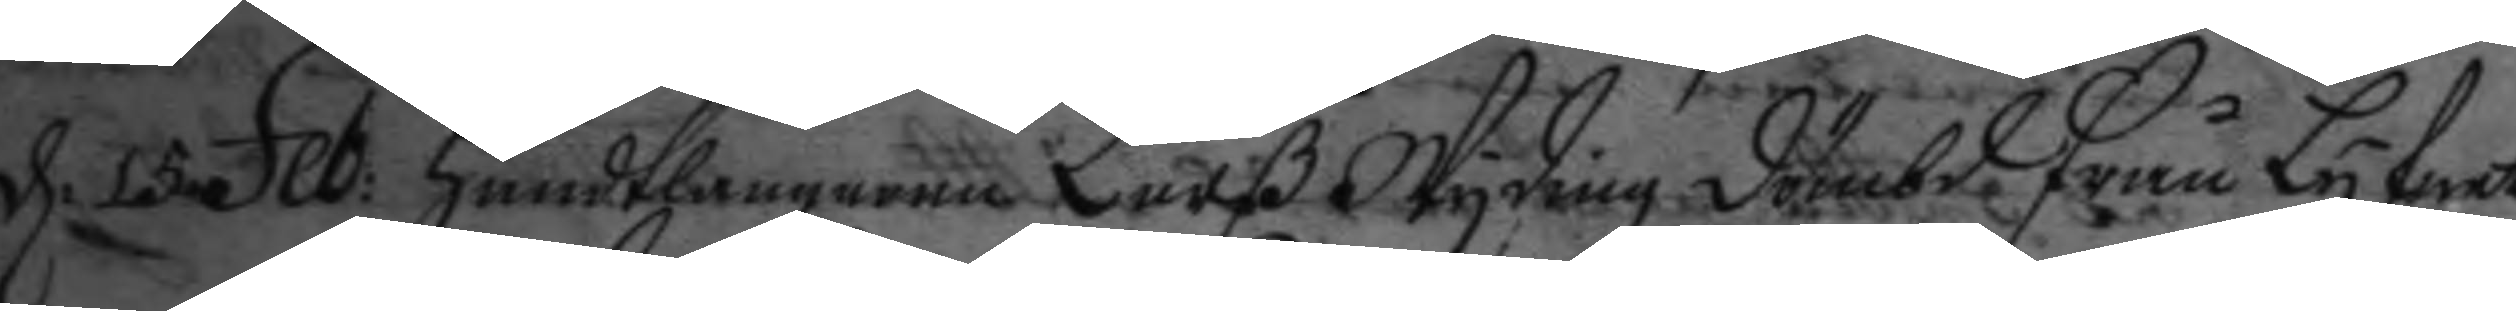d. 15 Feb: Handtlangaren Larß Wyding dömbd från Lyfwet
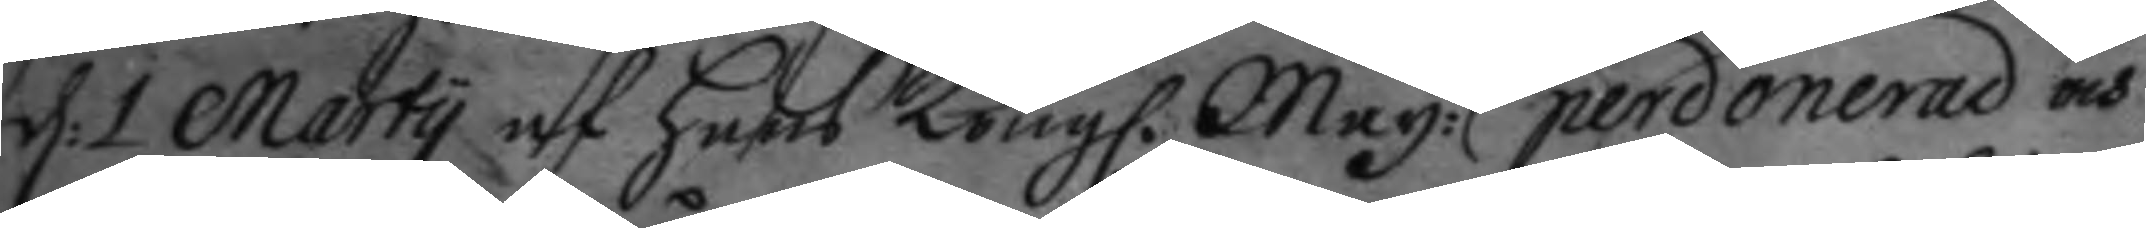d: 1 Marty af hans Kongl. May:tt perdonerad och
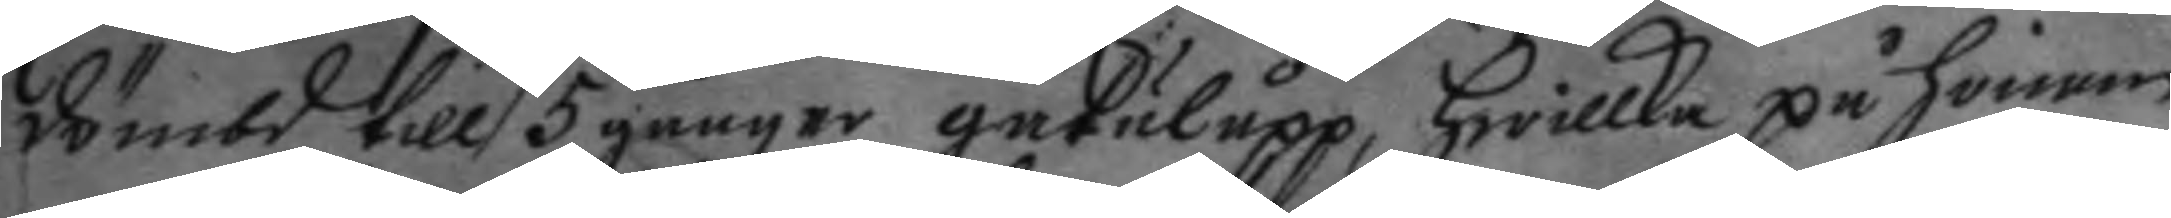dömbd till 5 gånger gatulopp, hwilka på honom
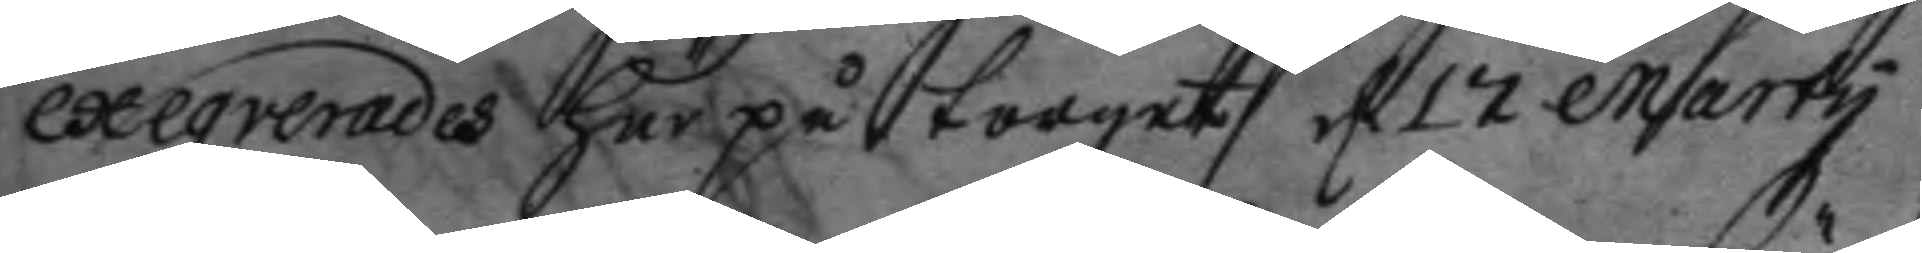exewverades här på torget d 17 Marty.
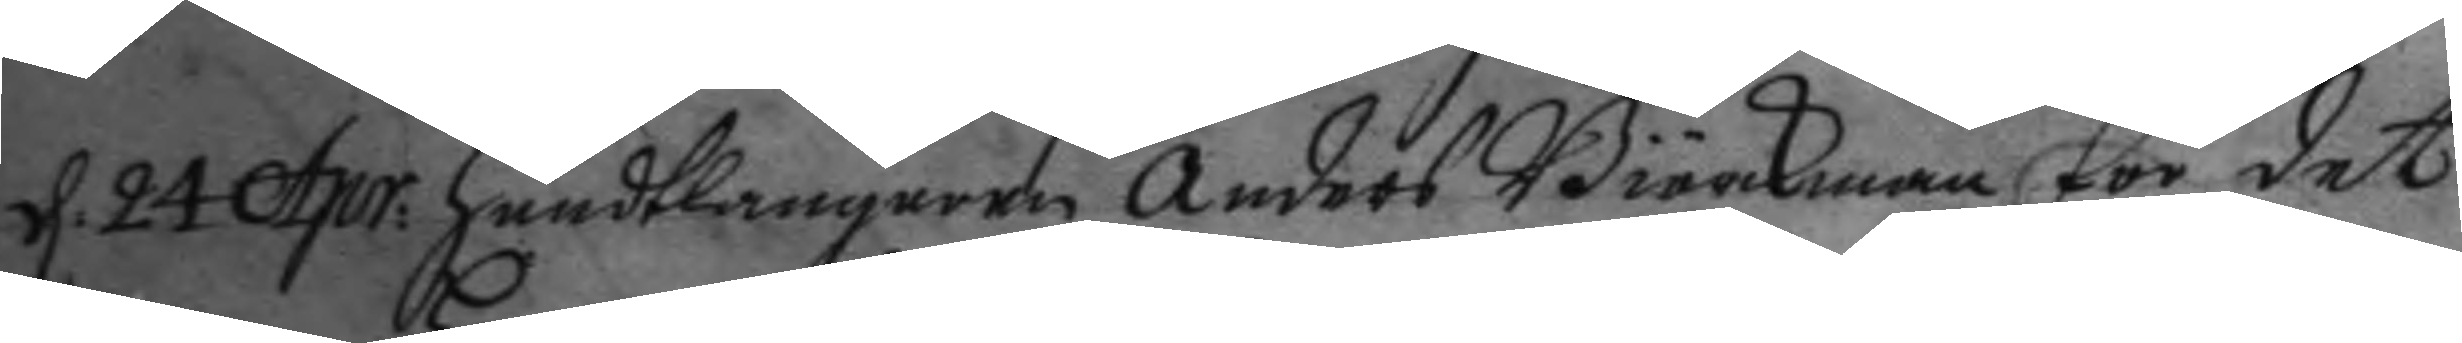d. 24 Apr: Handtlangaren Anders Biörkman för det
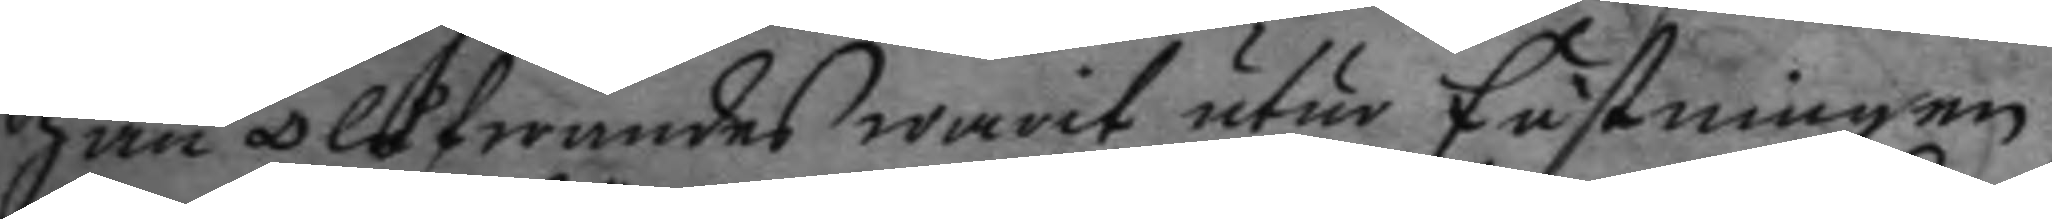han olofwandes warit utur fästningen
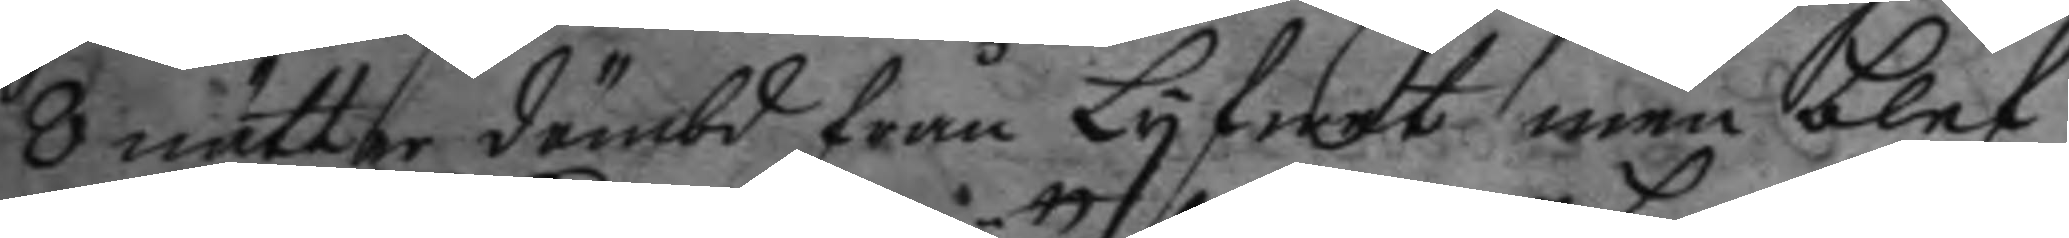8 nätter dömbd från Lyfwet men blef
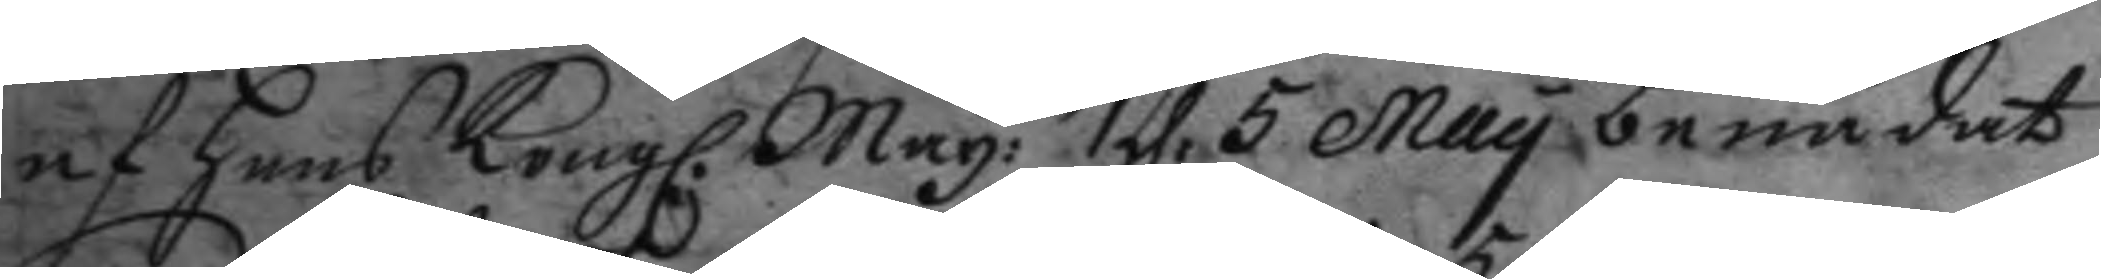af hans Kongl. May:tt d: 5 May benådat
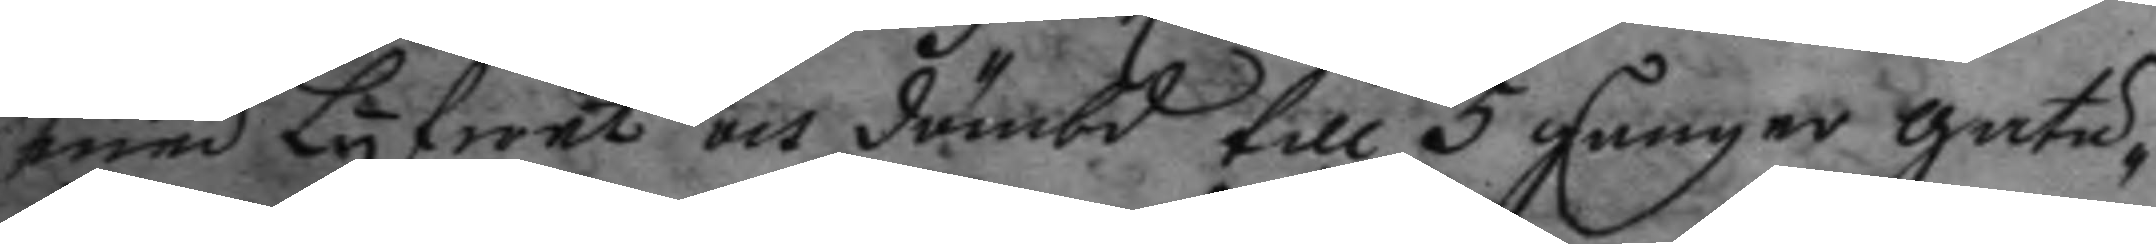med Lyfwet och dömbd till 5 gånger gatu¬
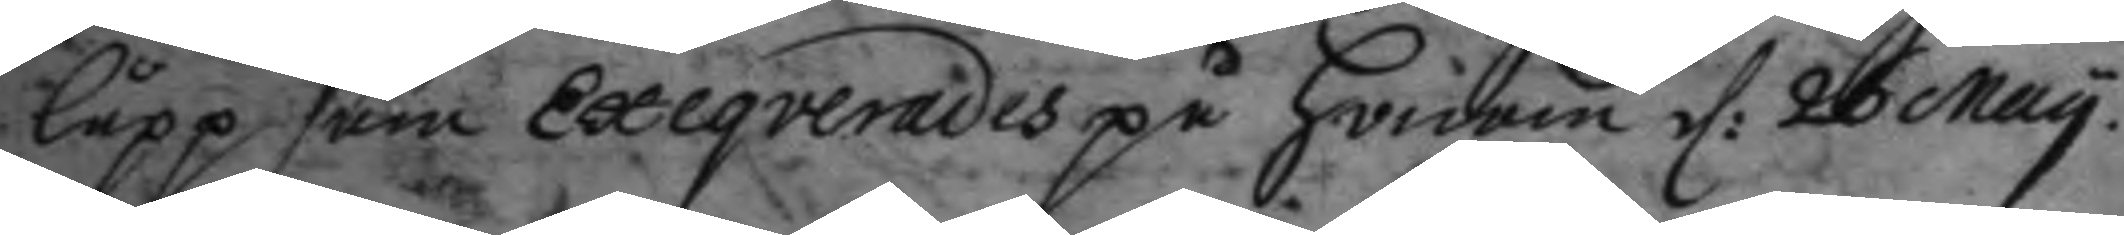låpp som Exeqverades på honom d: 26 May.
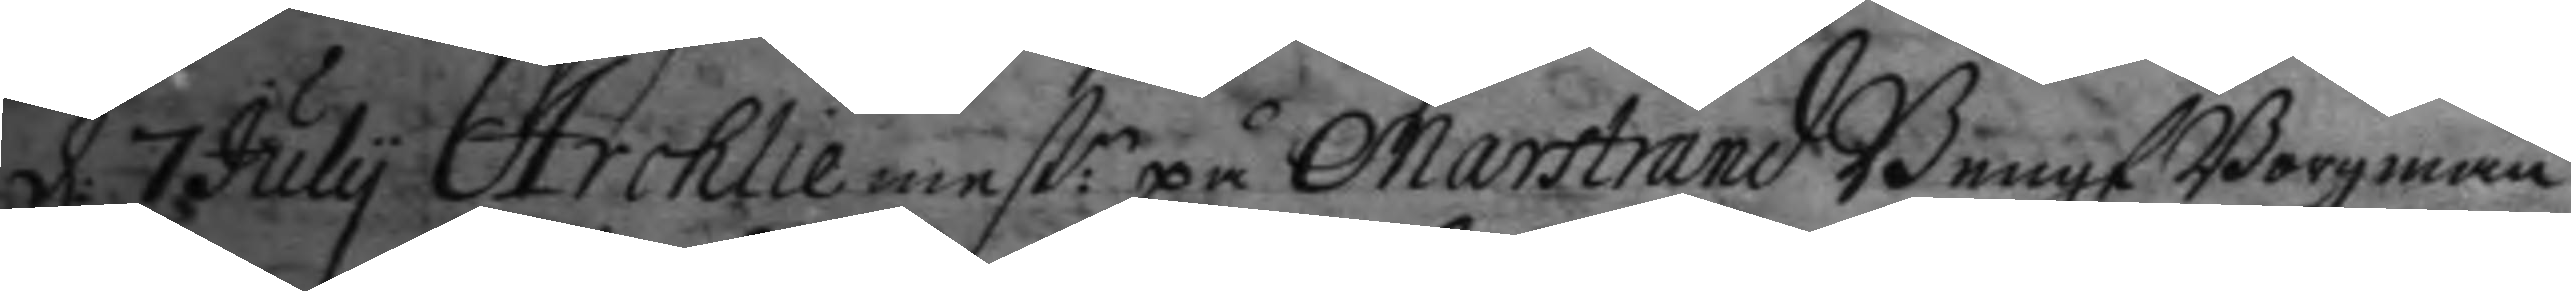d: 7 July Archliemest:n på Marstrand Bengt Borgman
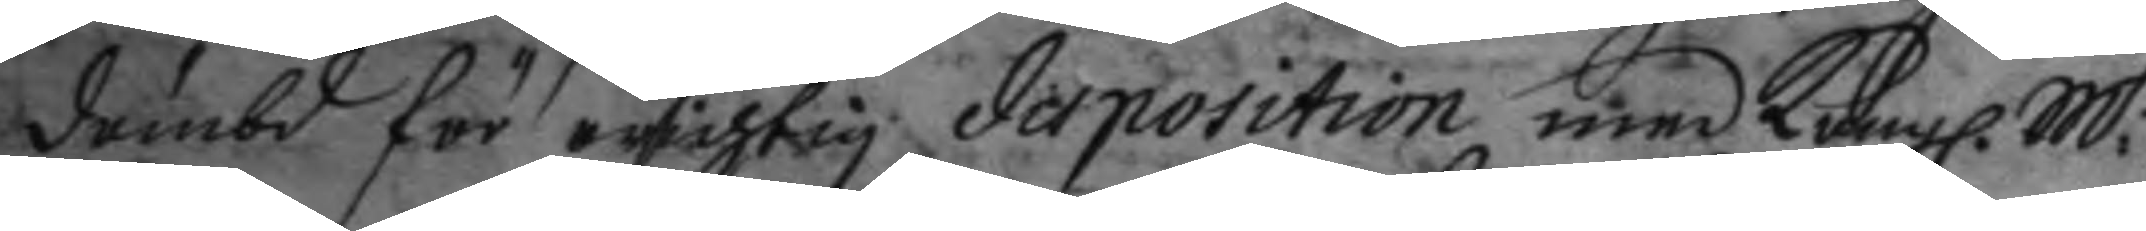dömbd för orichtig disposition med Kongl. M.ttz
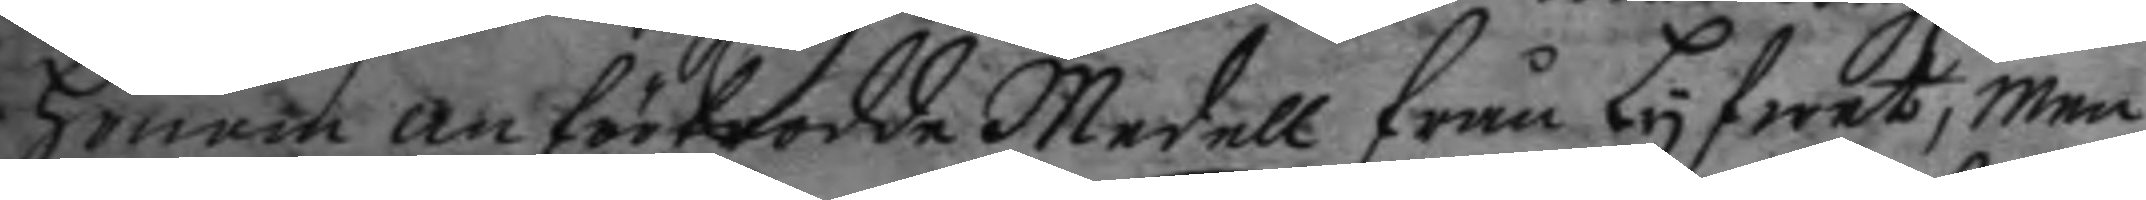honom anförtrodde Medell från Lyfwet, men
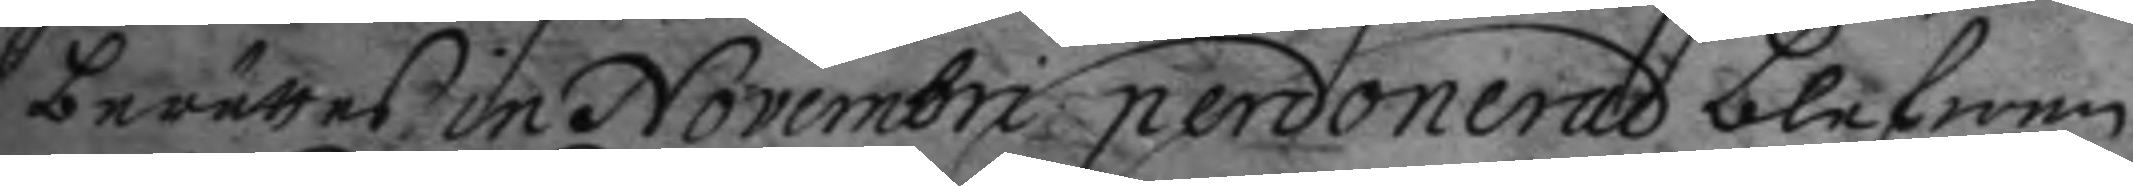berättas in Novembri perdonerad blefwen
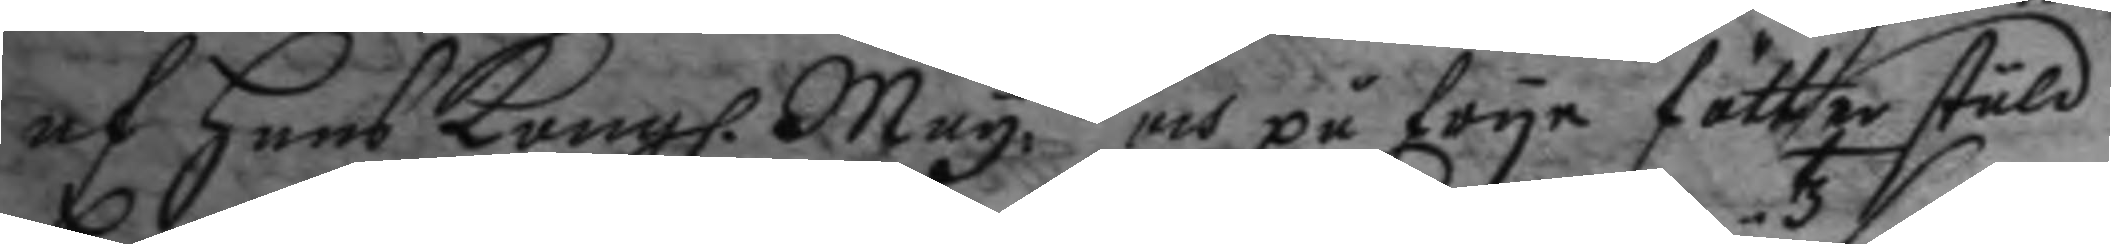af hans Kongl. May.tt och på frya fötter stäld
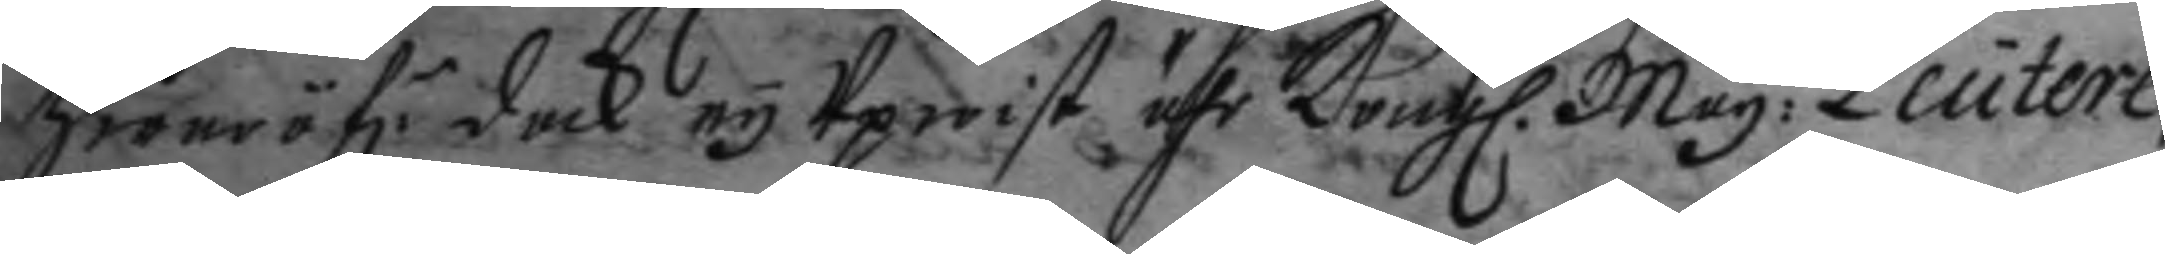hwar öf.r doch ey Upwist ähr Kongl. May:tz Leutere¬
